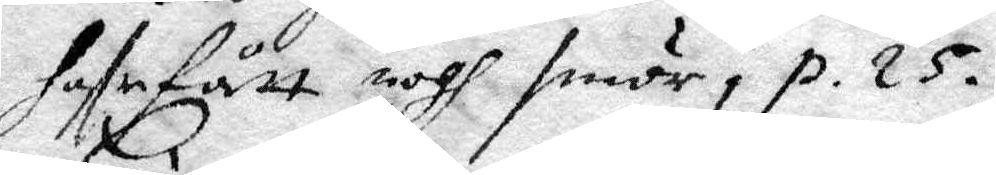hafr fått nogh smör, p. 25.
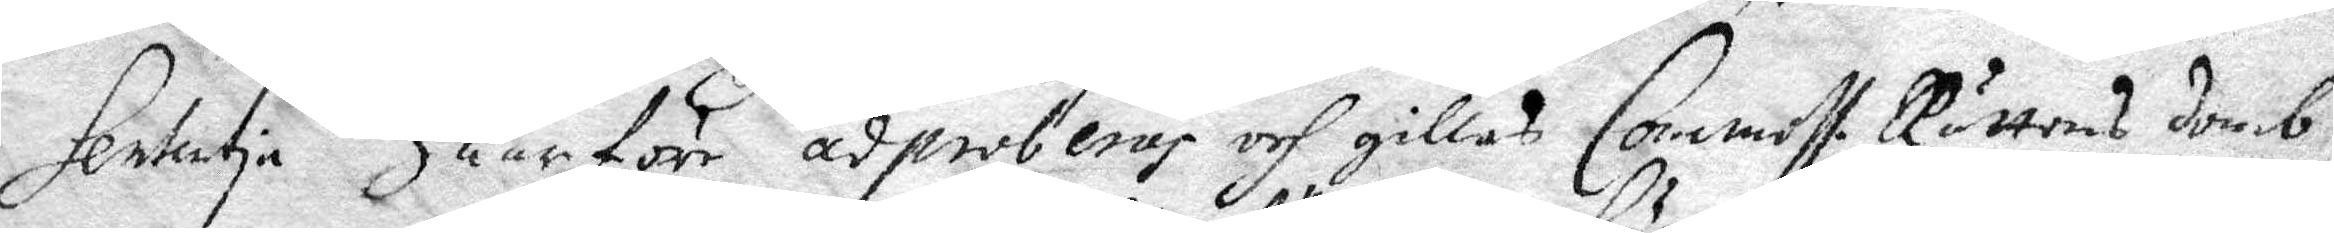Sententia Huarföre adproberas och gillas Commiss. Rättens domb
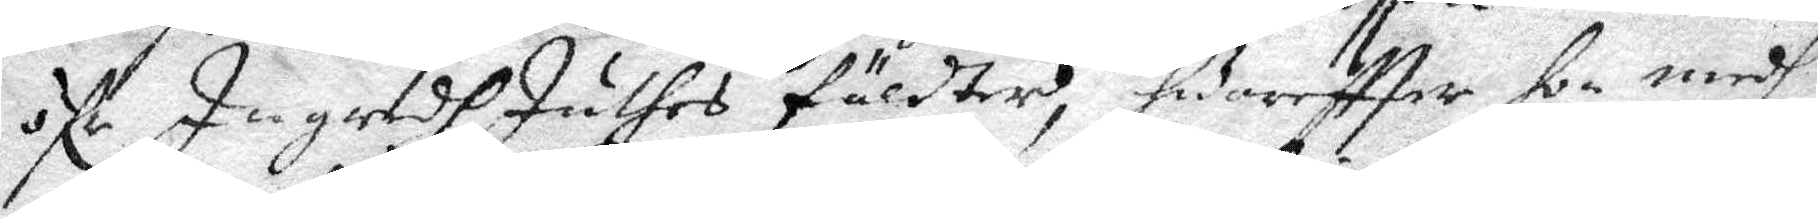öfr Ingredh Juthes fäldter, hguareftter hon medh
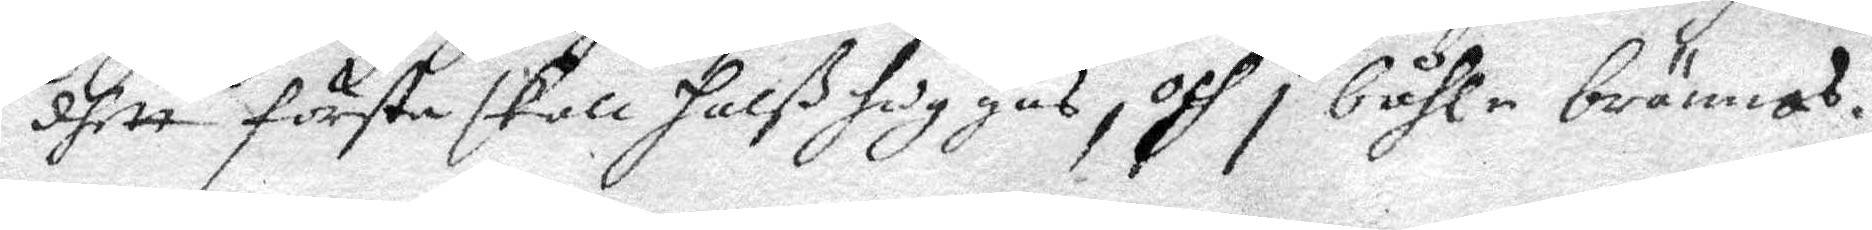dhett första skall halßhuggas, och i båhle brännas.
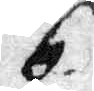6.
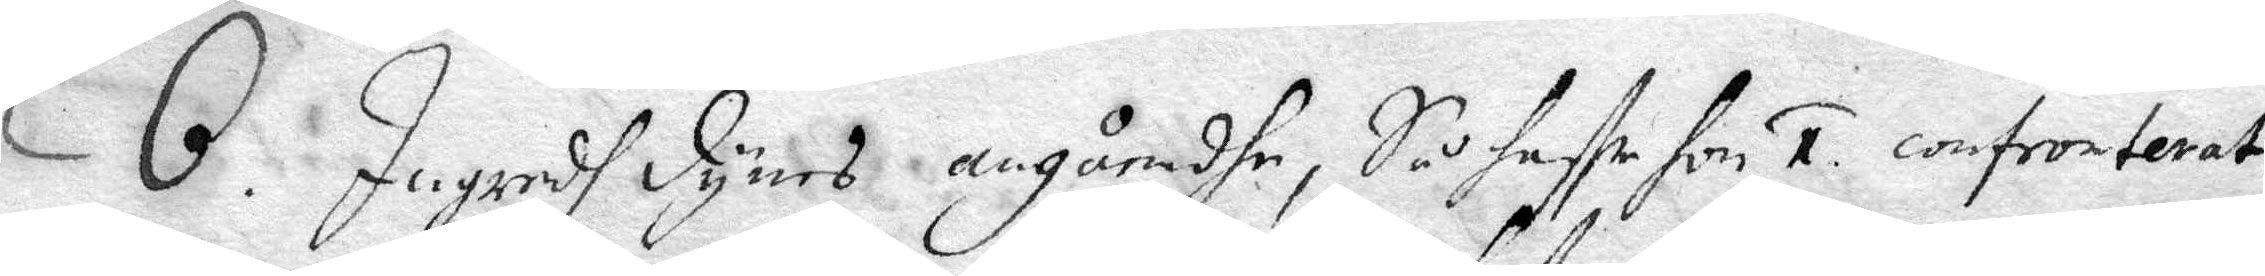6. Ingredh Dynes angåendhe, Så haffr hon 1. confronterat
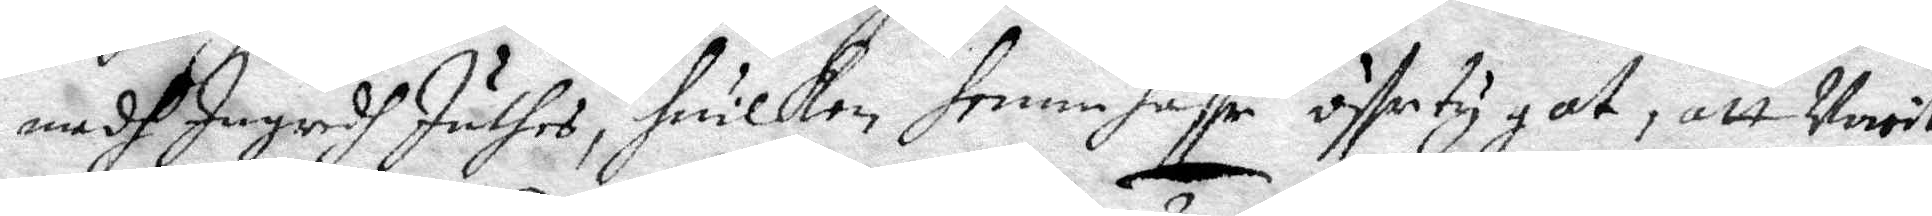medh Ingredh Juthes, huilken henne haffr öffvertygat, att Marit
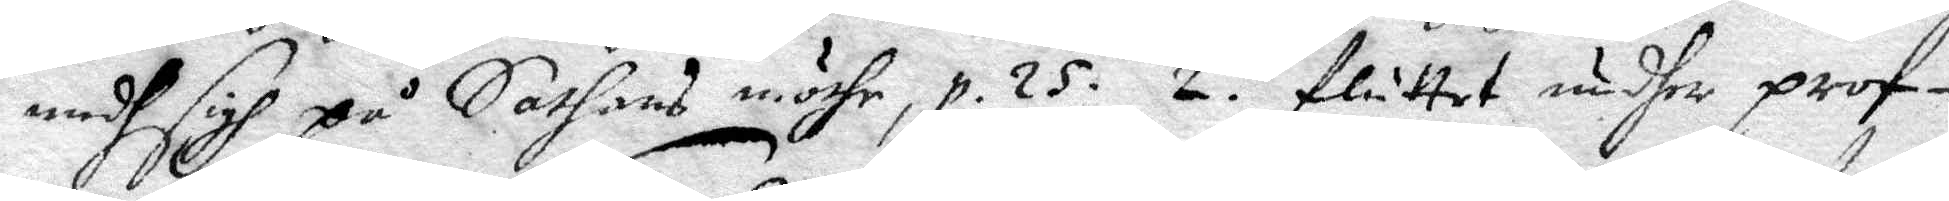medh sigh på Sathans möthe, p. 25. 2. fluttet undher prof¬
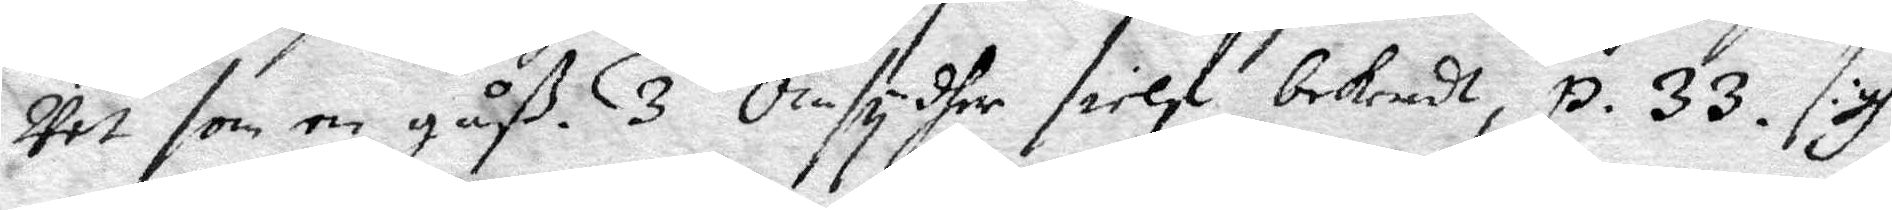vet som en gåß. 3 Omsydher sielf bekendt, p. 33. sigh
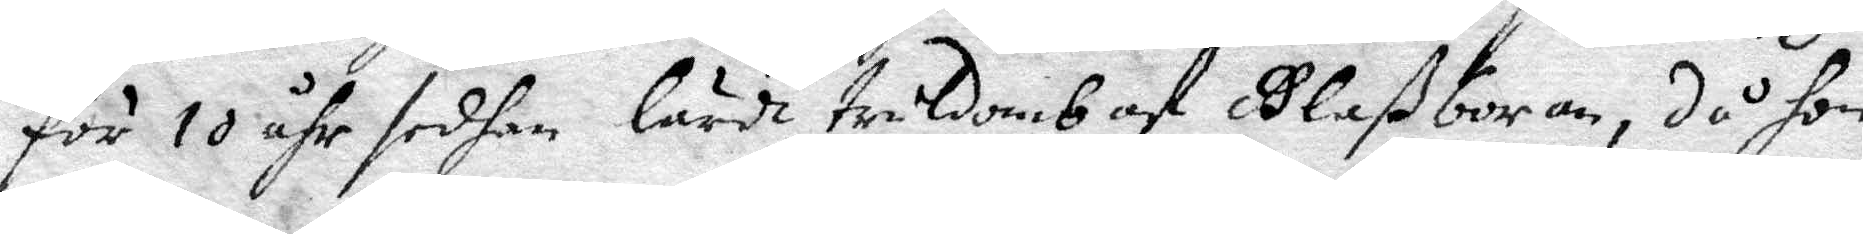för 10 åhr sedhan lärdt truldomb af Glaßboran, då hon 
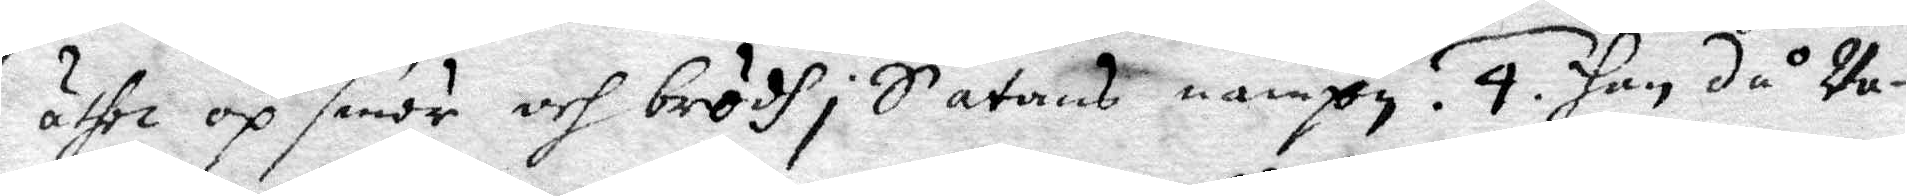åthe op smör och brödh i Sathans nampn. 4. Han då Va¬
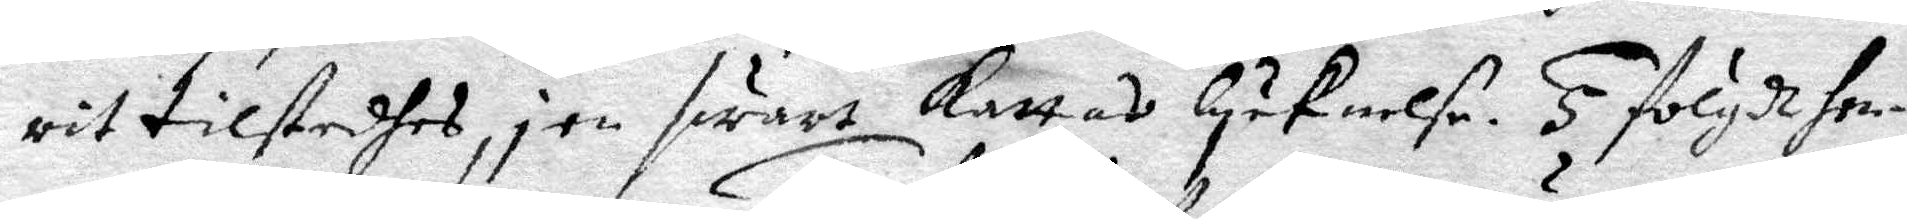rit tilstedhes, i en swart Kattas lyknelse. 5. fölgdt hen¬
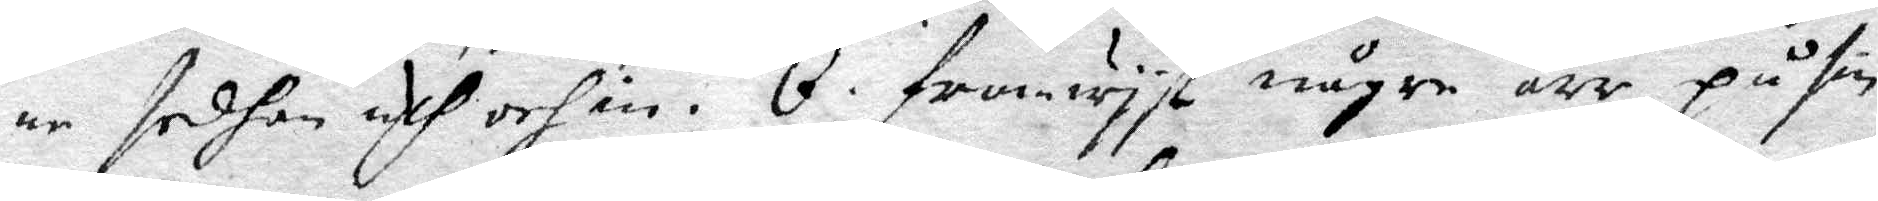ne sdhan uth och in. 6. framwyst någre ärr på sin
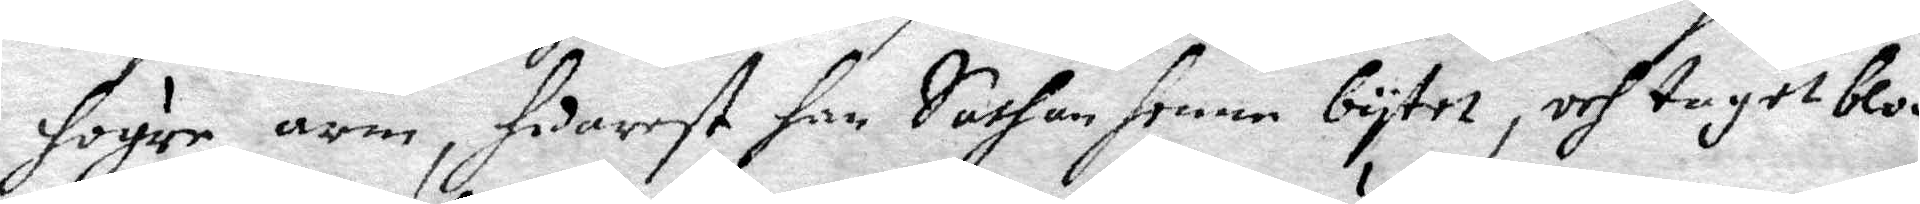högre arm, huarest han Sathan henne bytet, och taget blod
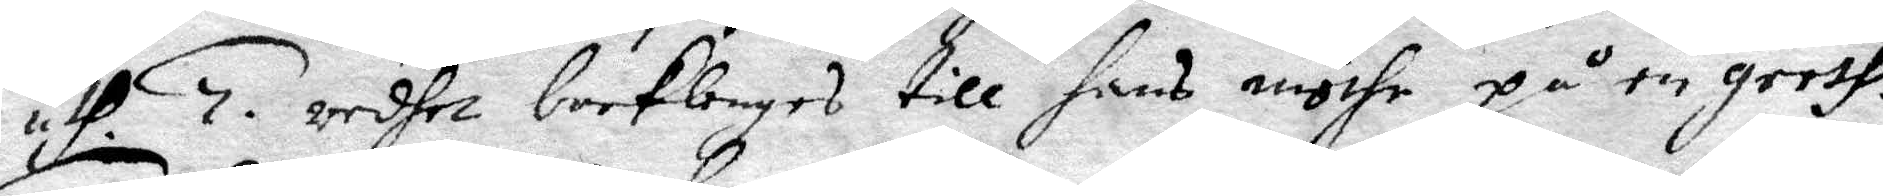uthi. 7. redhet backlenges till hans möthe på en gresh.
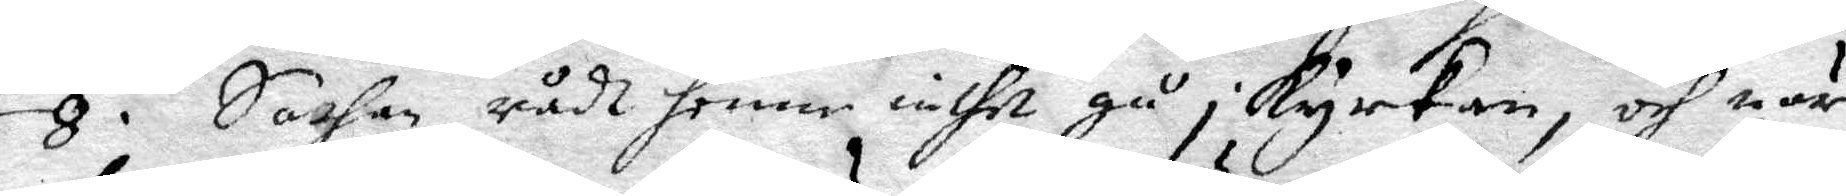8. Sathan rådt henne iche gå i kyrkanm och när
